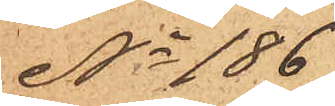No 186
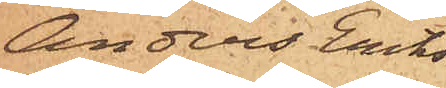Anders Eriks¬
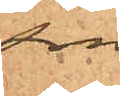son.
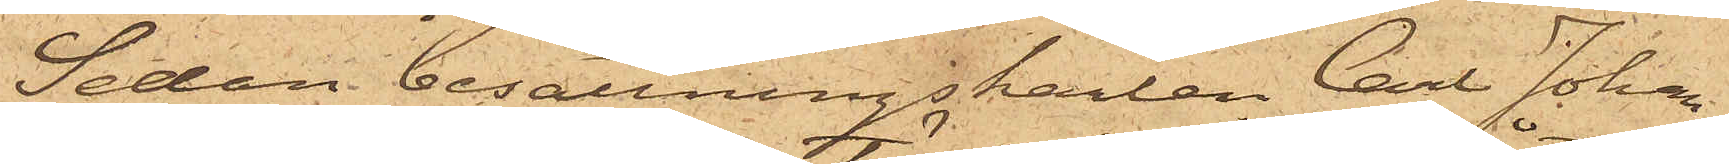Sedan besättningskarlen Carl Johan
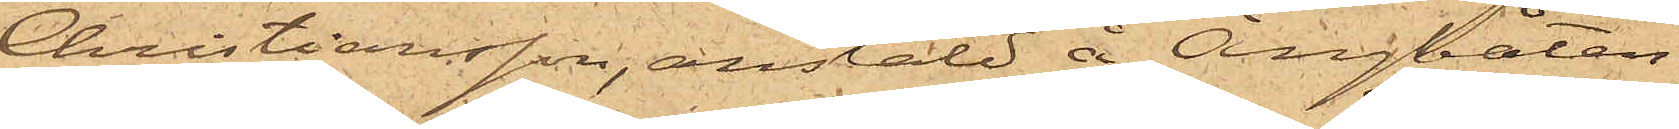Christiansson, anstäld å Ångbåten
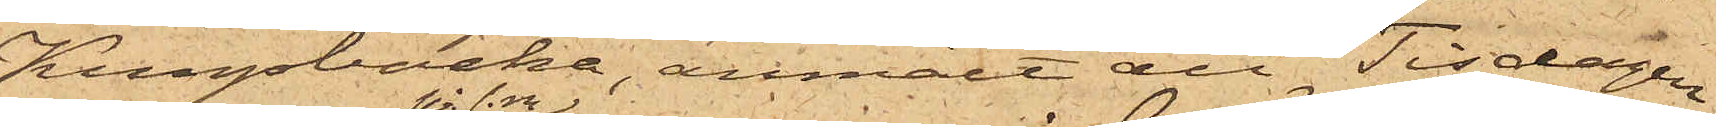Kungsbacka, anmält att Tisdagen
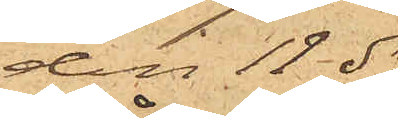den 19 ds
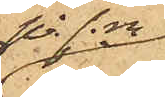på f.m
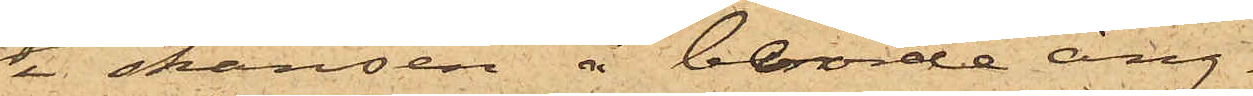i skansen å berörde ång¬
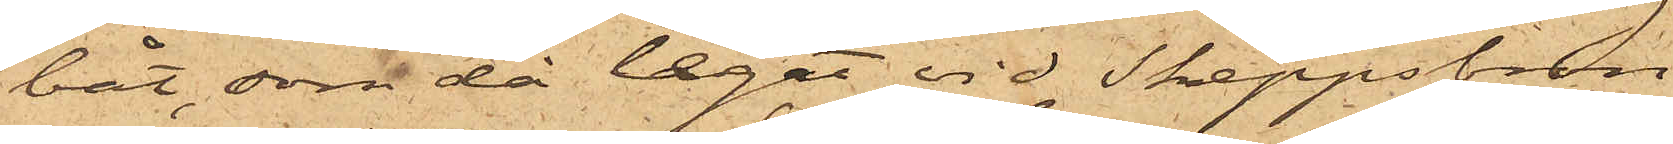båt, som då legat vid Skeppsbron
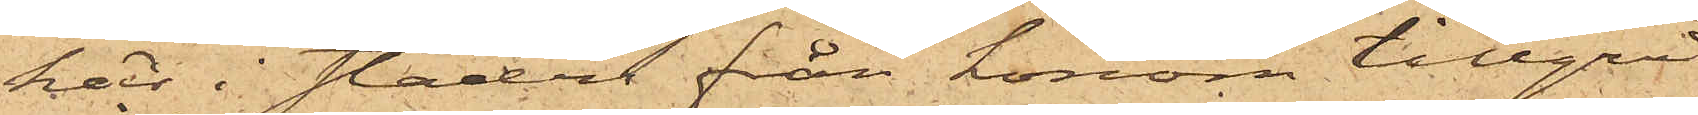här i staden från honom tillgri¬
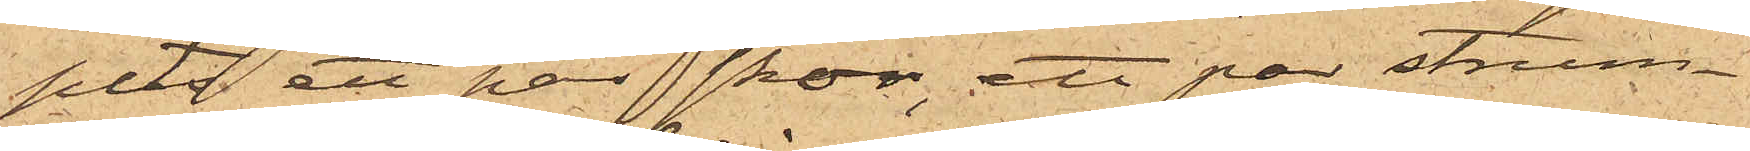pits ett par skor, ett par strum¬
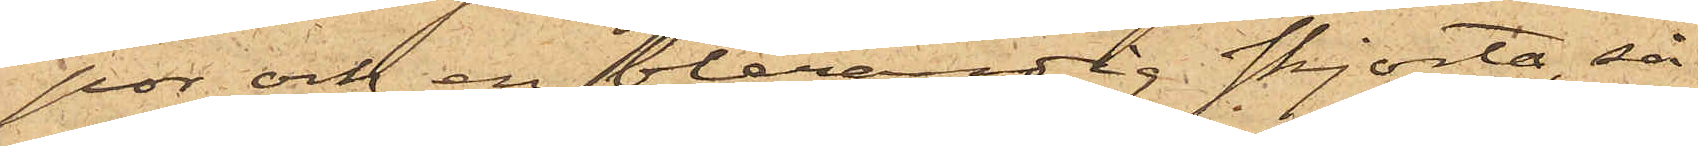por och en blårandig skjorta, så
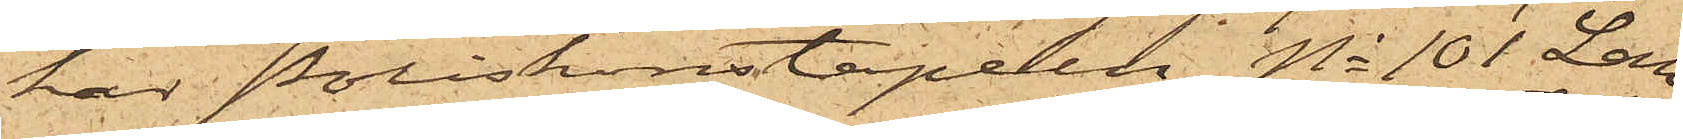har Poliskonstapeln No 101 Lan¬
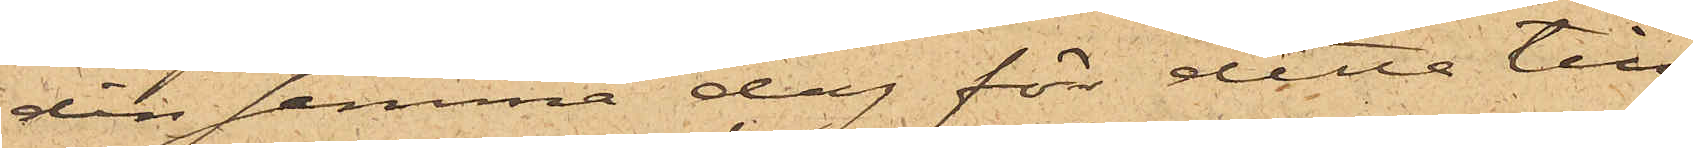din samma dag för detta till¬
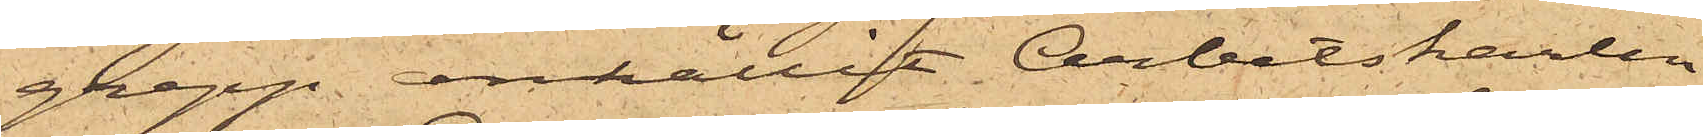grepp anhållit Arbetskarlen
